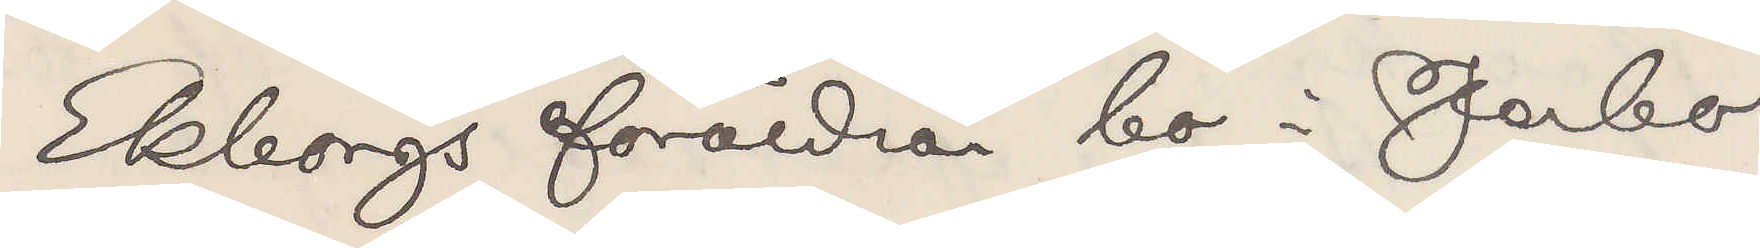Ekborgs föräldrar bo i Jerbo
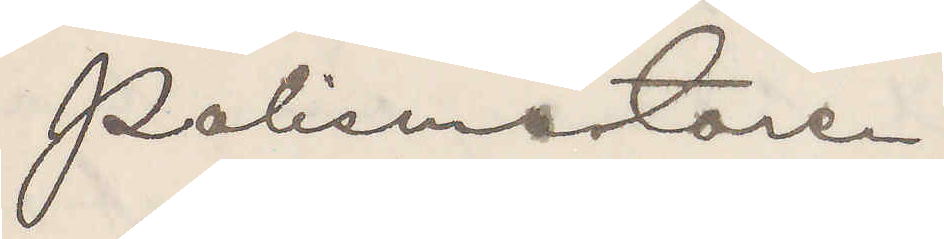Polismästaren
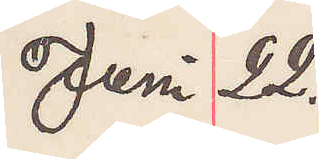Juni 22.
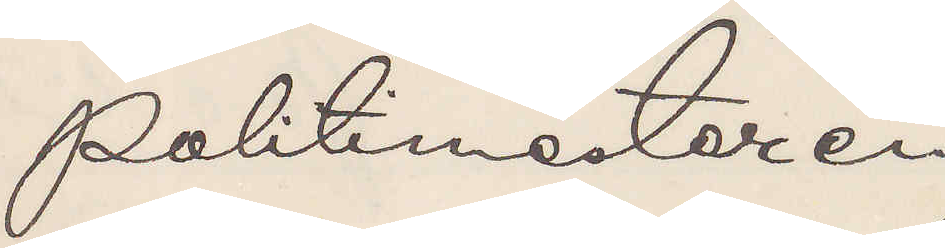Politimesteren
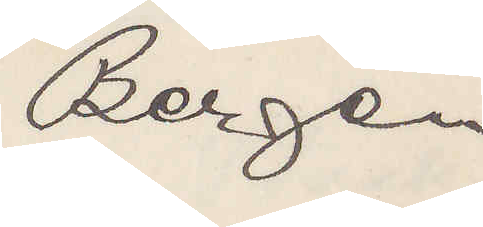Bergen
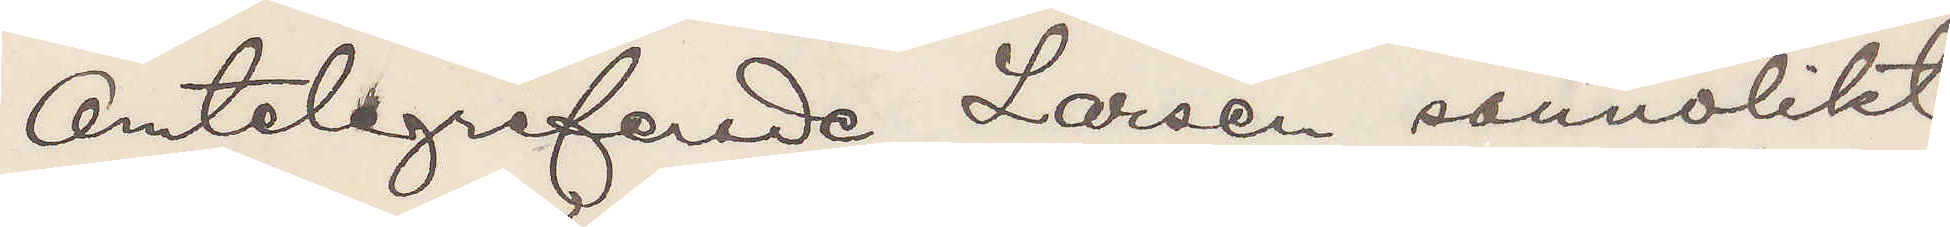Omtelegraferade Larsen sannolikt
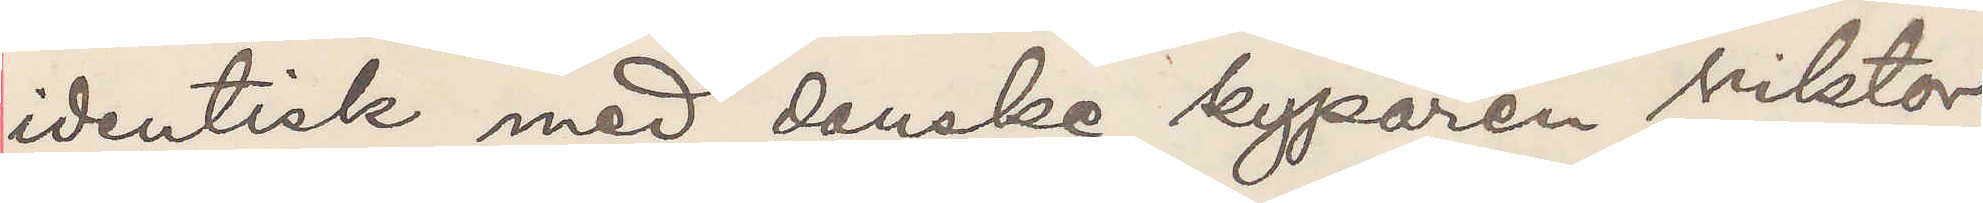identisk med danke kyparen Viktor
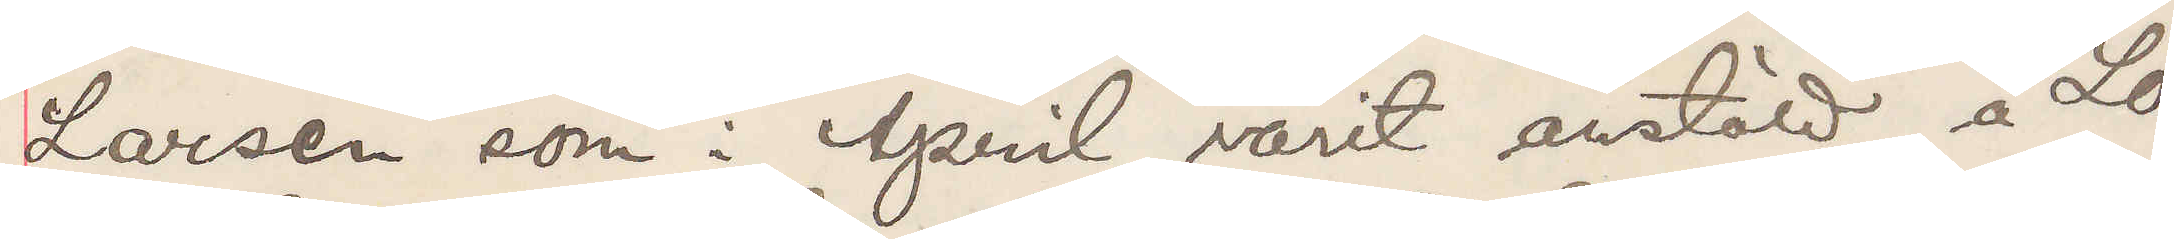Larsen som i April varit anstäld å Lo¬
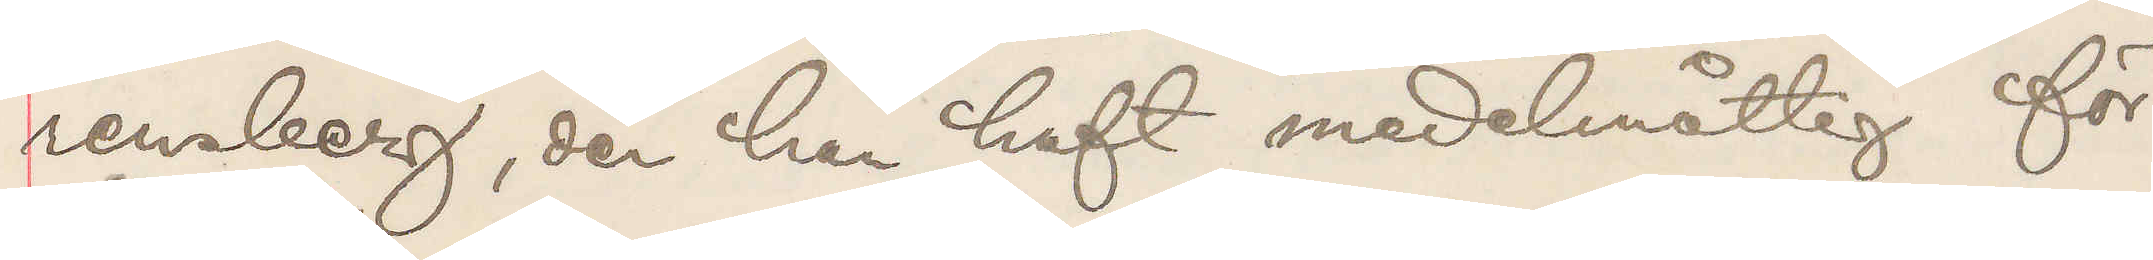rensberg, der han haft medelmåttig för¬
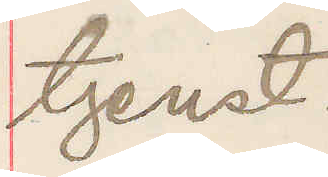tjenst.
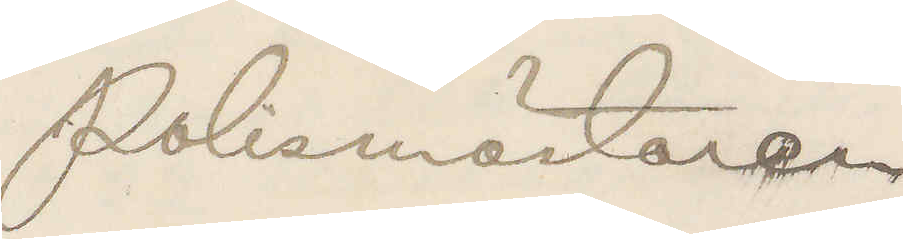Polismästaren
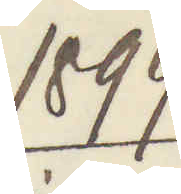1899.
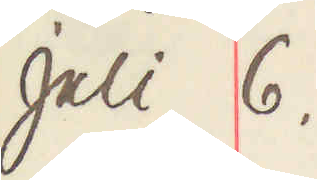Juli 6.
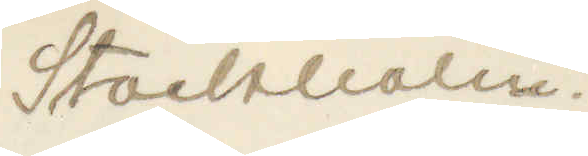Stockholm
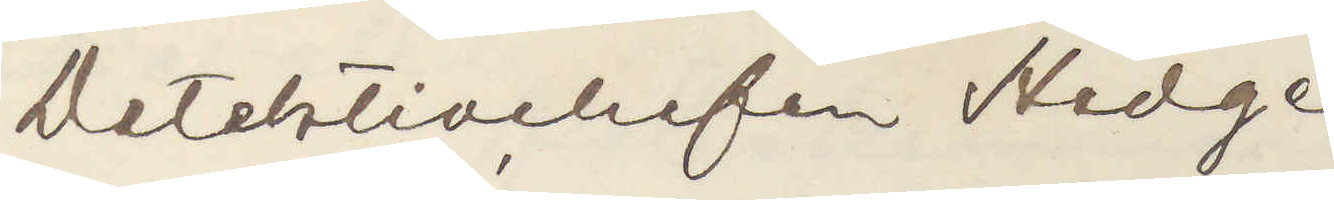Detektivchefen Hedge,
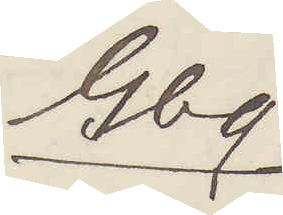Gbg.
